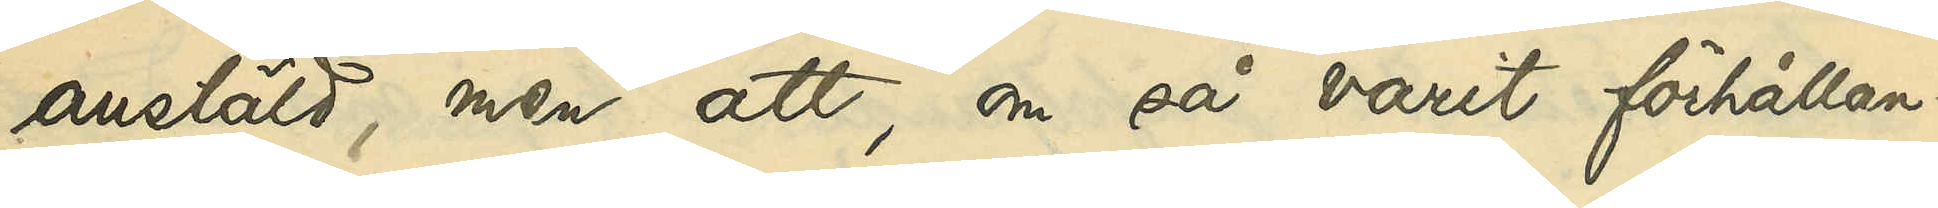anstäld, men att, om så varit förhållan¬
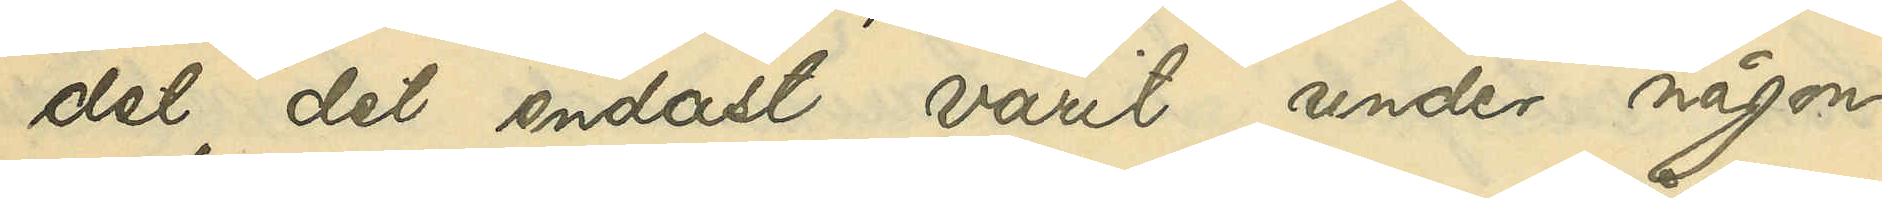det, det endast varit under någon
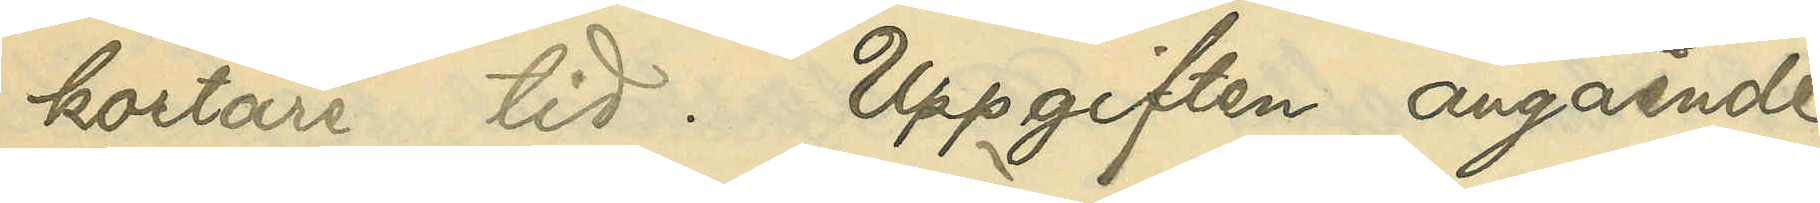kortare tid. Uppgiften angående 
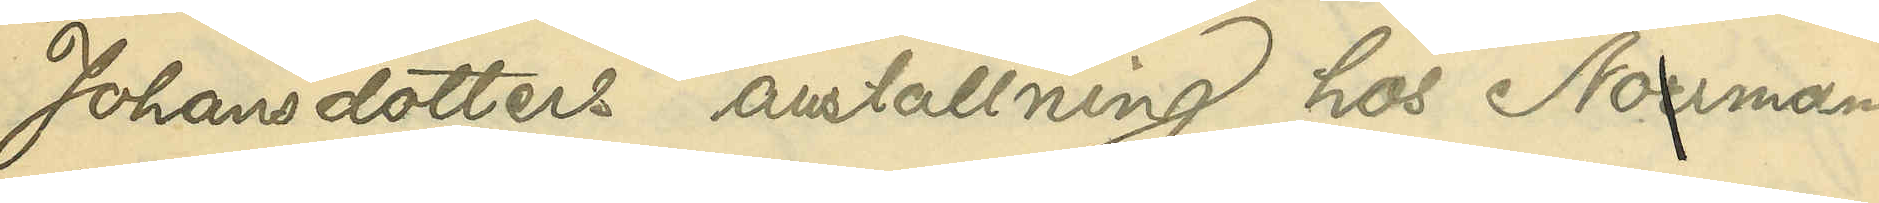Johansdotters anställning hos Norrman
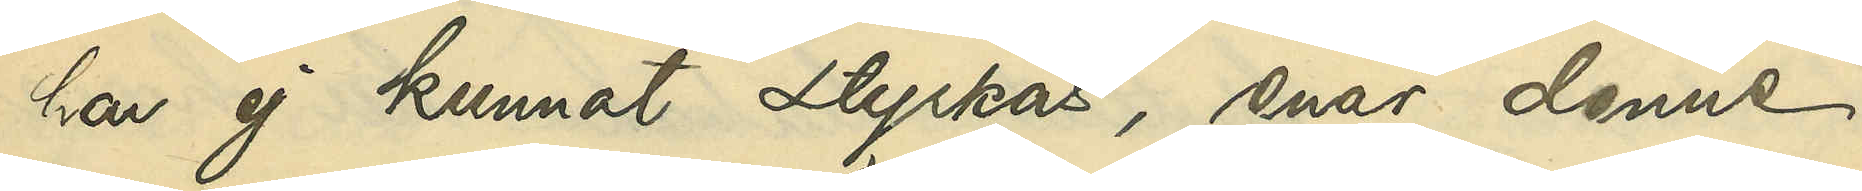har ej kunnat styrkas, enär denne
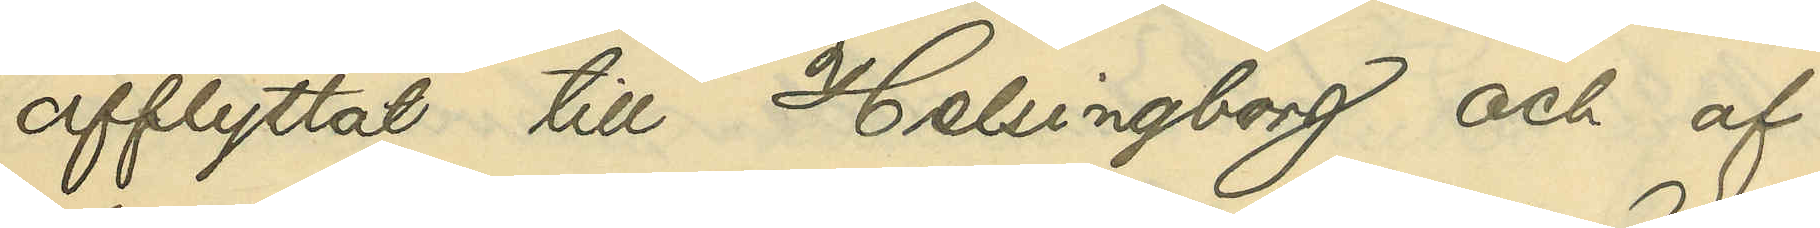afflyttat till Helsingborg och af
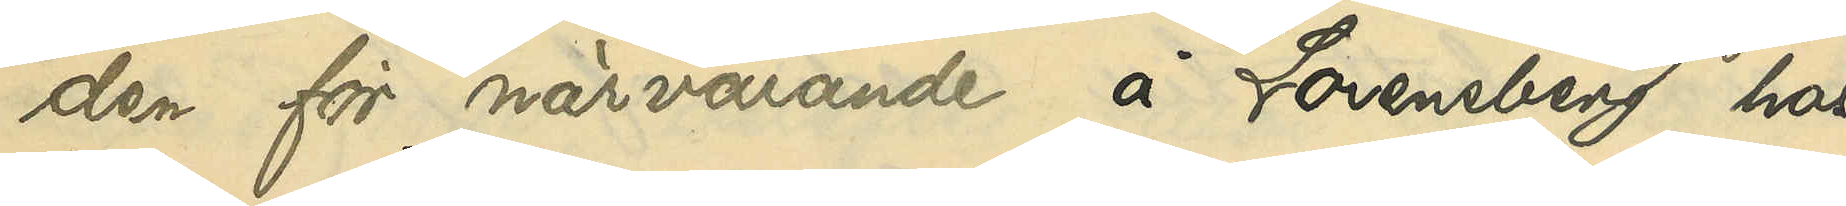den för närvarande å Lorensberg hos
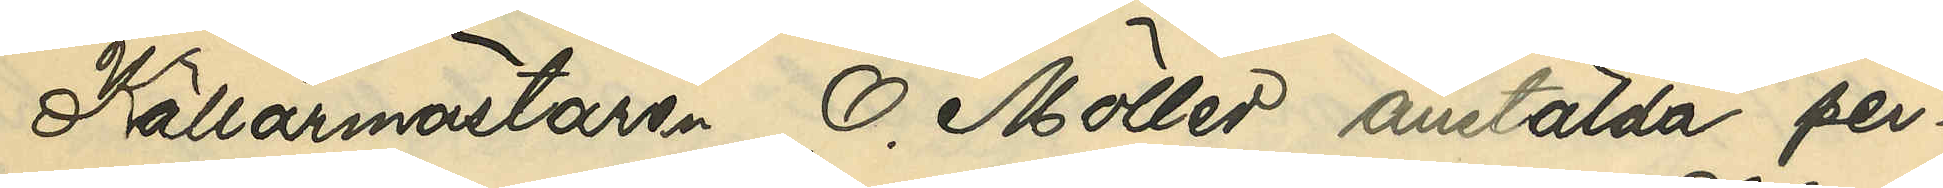Källarmästaren O. Möller anstälda per¬
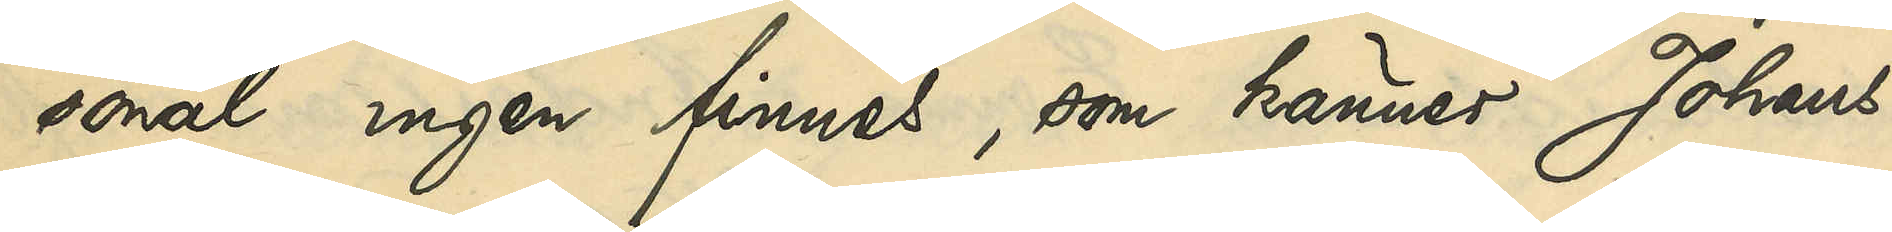sonal ingen finnes, som känner Johans¬
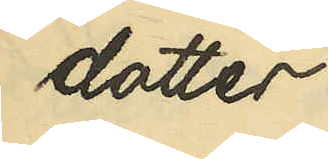dotter.
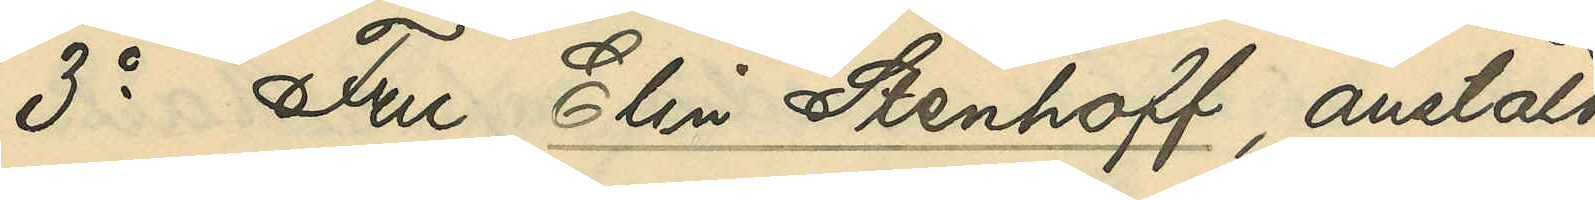3o Fru Elin Stenhoff, anstäld
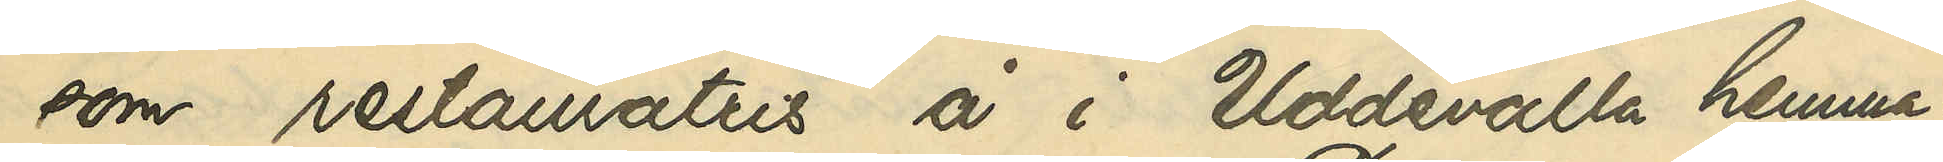som restauratris å i Uddevalla hemma¬
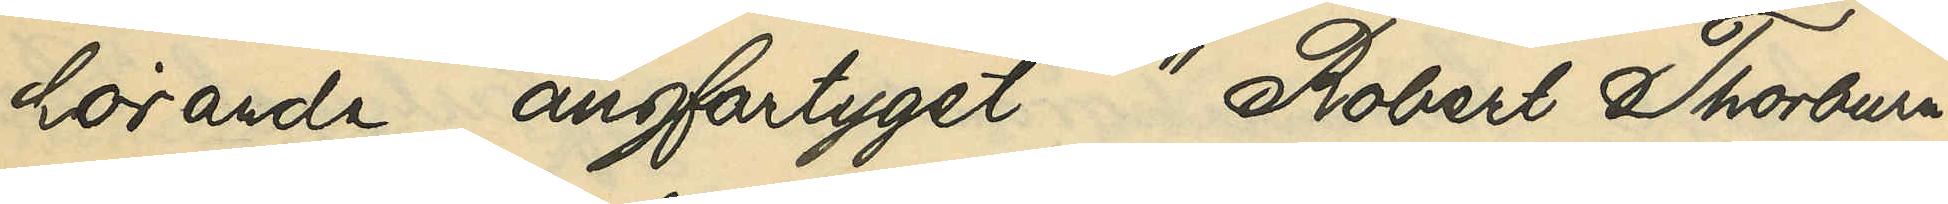hörande ångfartyget "Robert Thorburn":
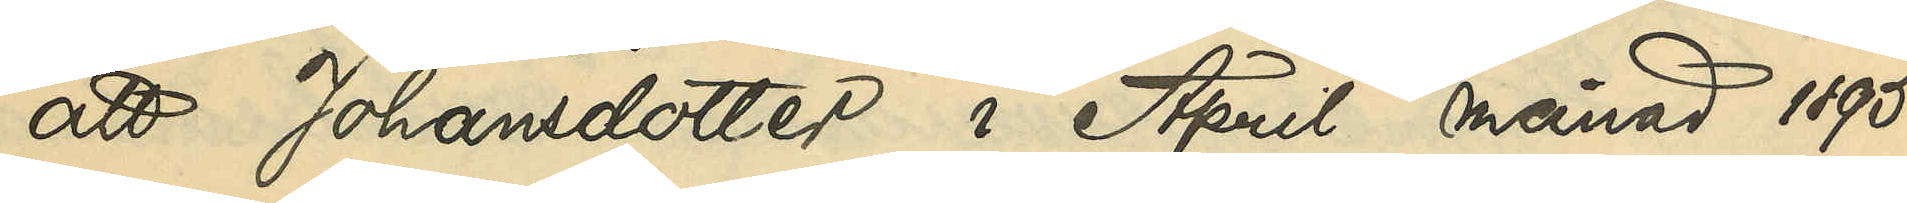att Johansdotter i April månad 1895,
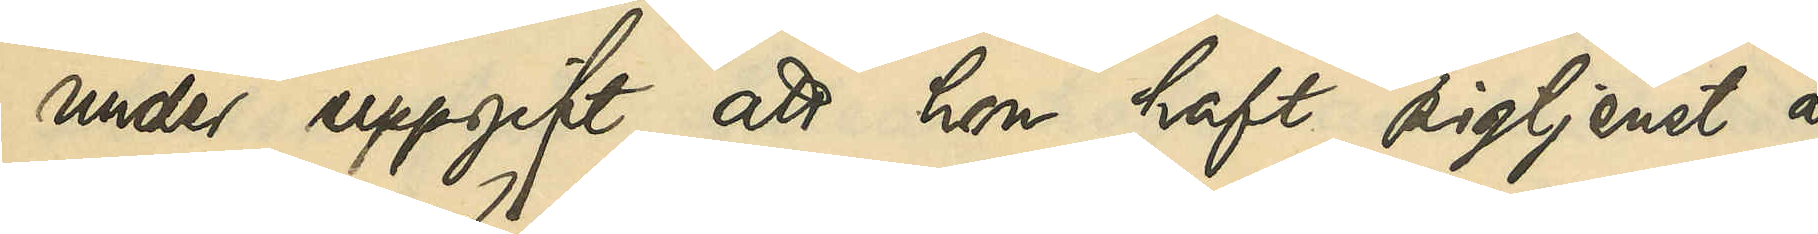under uppgift att hon haft pigtjenst å
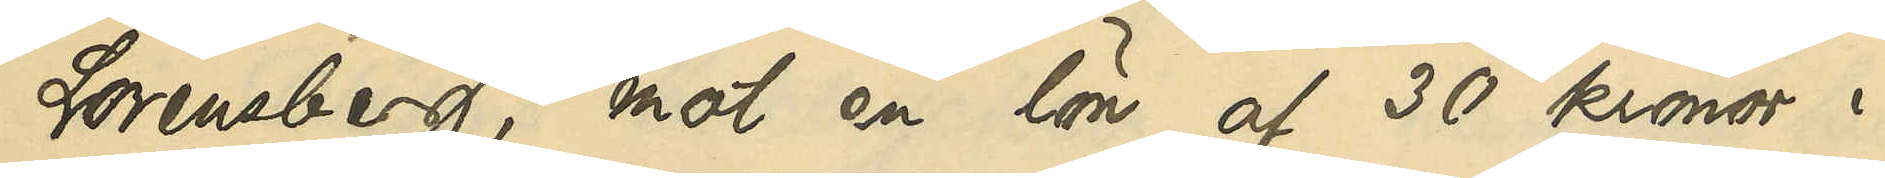Lorensberg, mot en lön af 30 kronor i
